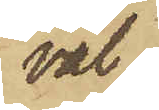väl
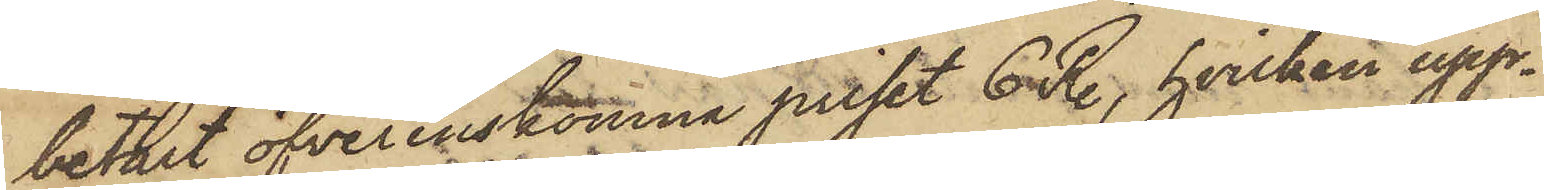betalt öfverenskomna priset 6 R., hvilken upp¬
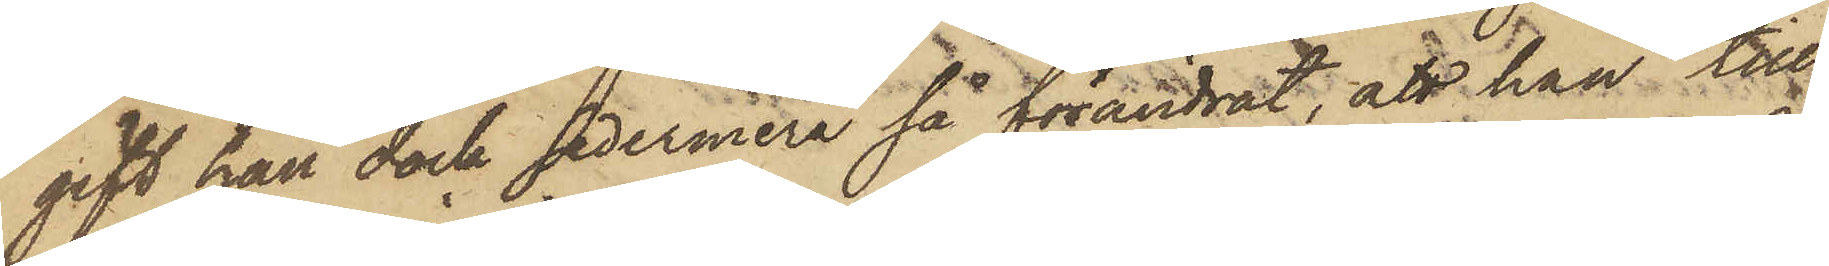gift han dock sedermera så förändrat, att han till
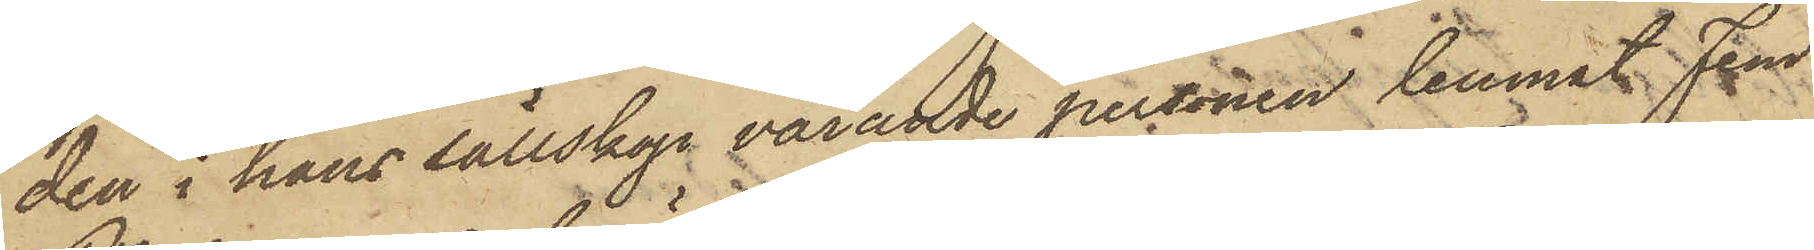den i hans sällskap varande personen lemnat Fem
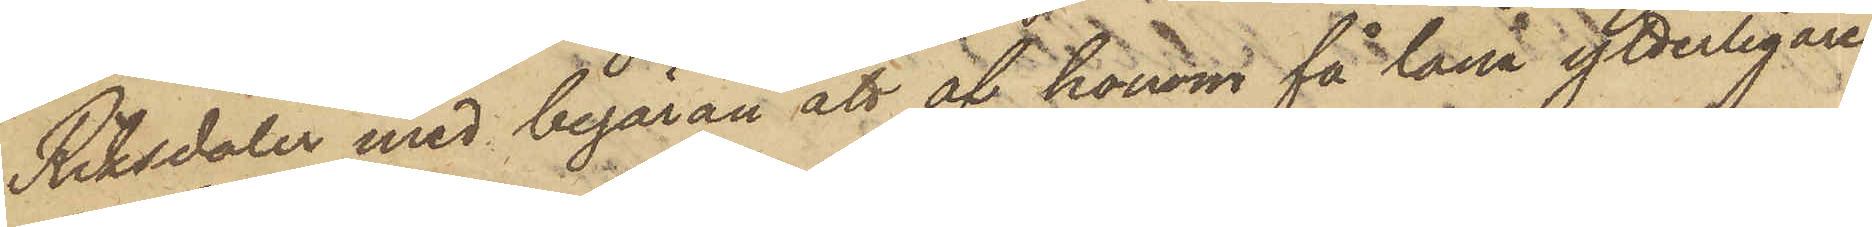Riksdaler med begäran att af honom få låna ytterligare
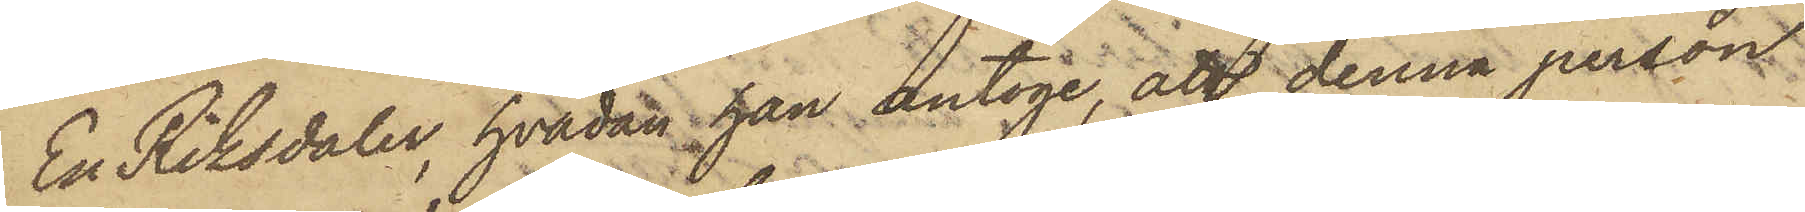En Riksdaler, hvadan han antoge, att denna person
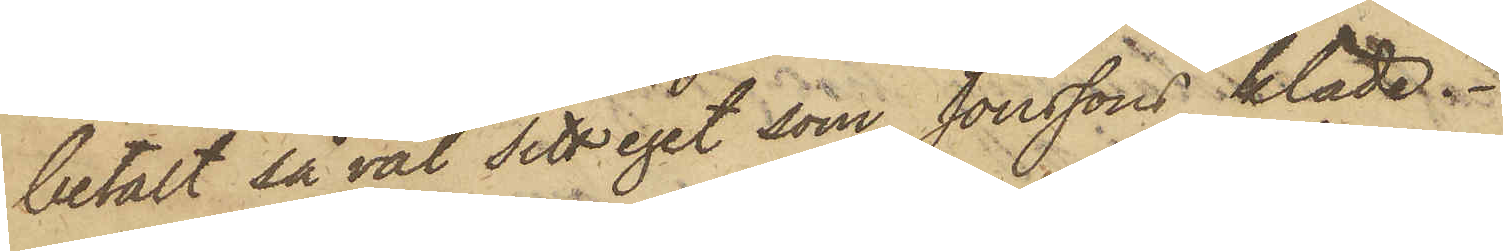betalt så väl sitt eget som Jönssons kläde.
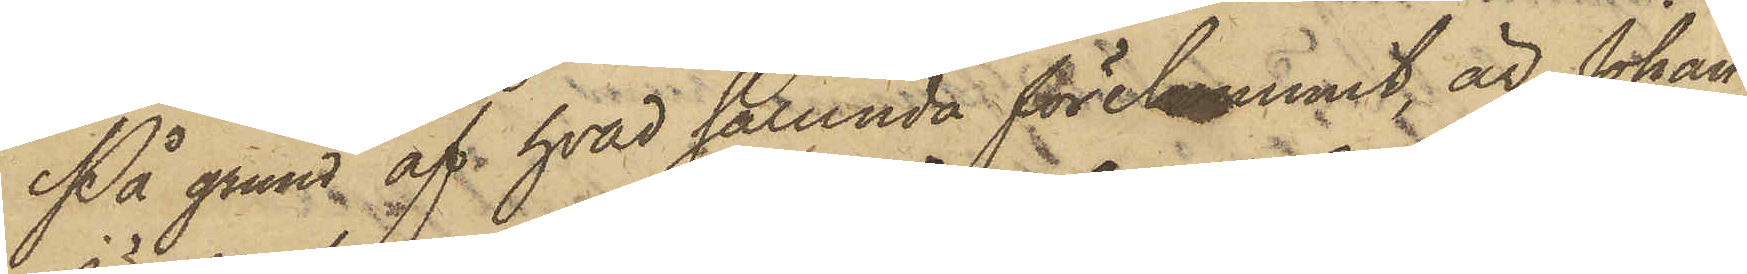På grund af hvad sålunda förekommit är Johan¬
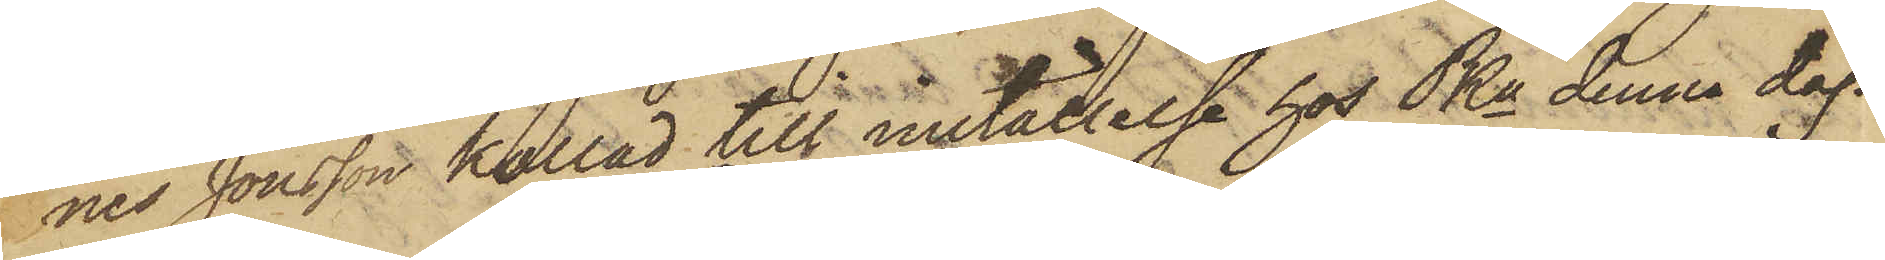nes Jönsson kallad till inställelse hos Pkn denna dag.
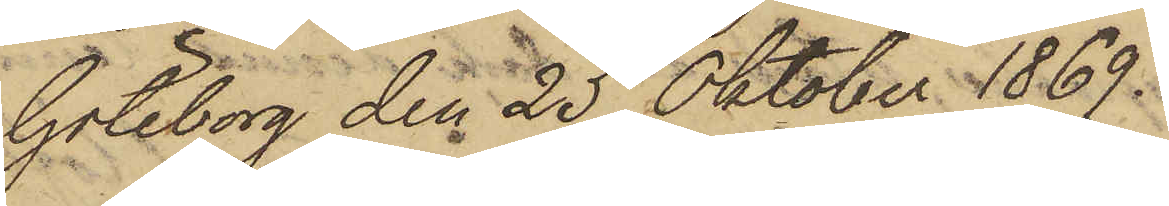Göteborg den 25 Oktober 1869.
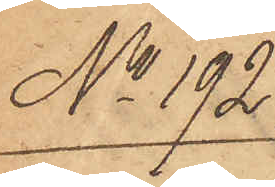No 192.
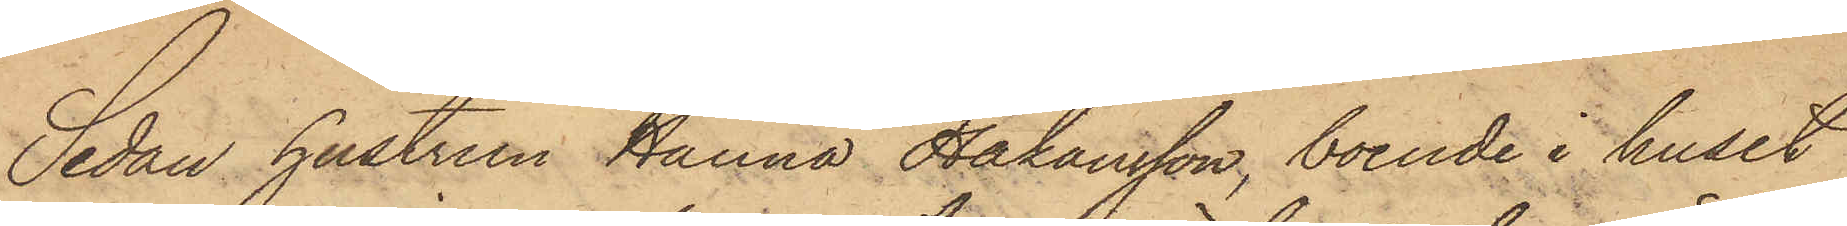Sedan hustrun Hanna Håkansson, boende i huset
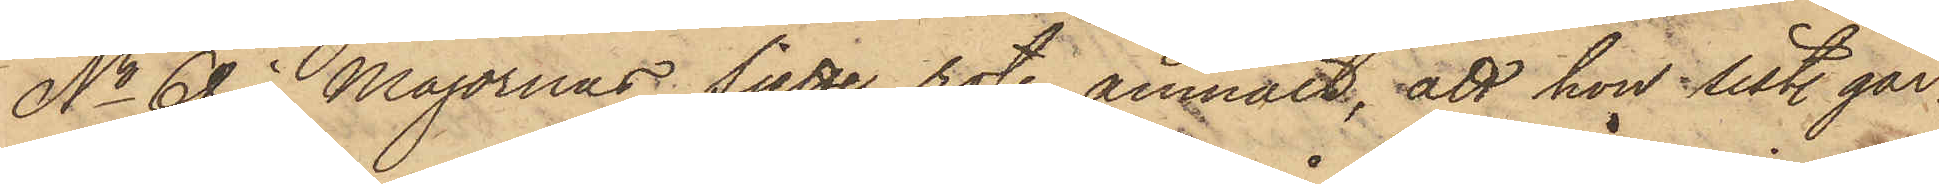No 68 i Majornas Sjette rote, anmält, att hon sist. går¬
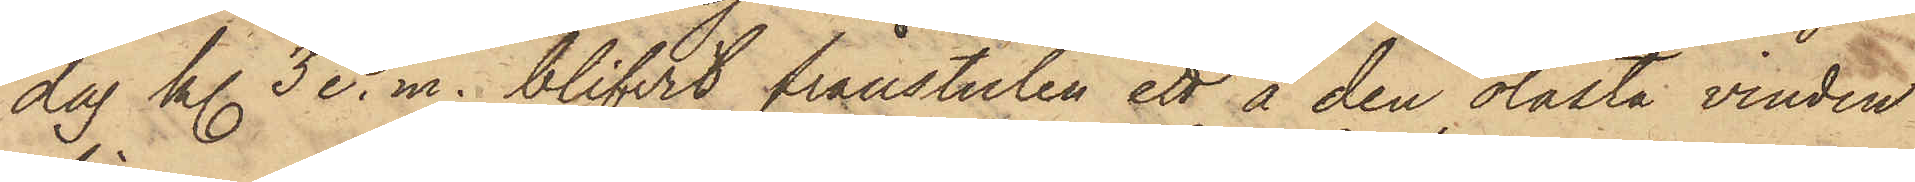dag kl. 3 e.m. blifvit frånstulen ett å den olåsta vinden
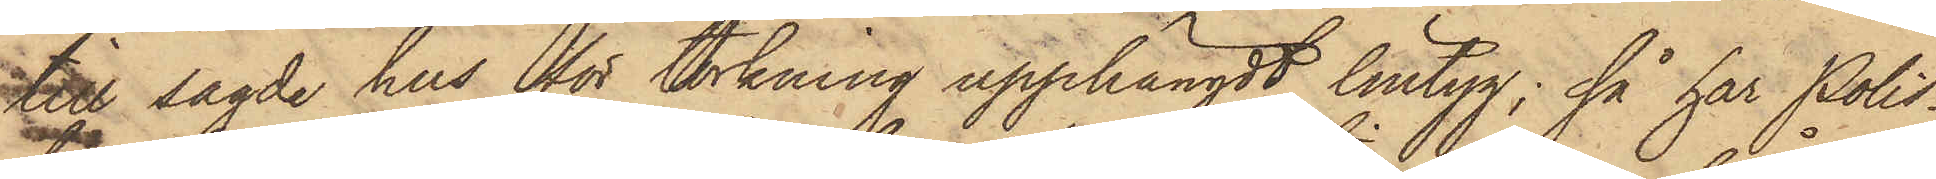till sagde hus för torkning upphängdt lintyg; så har Polis¬
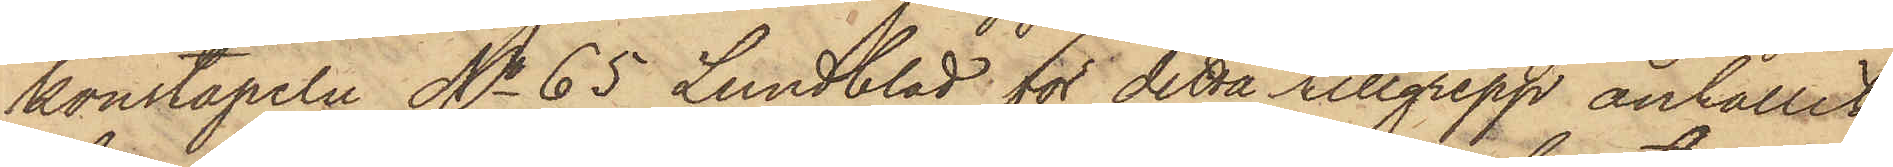konstapeln No 65 Lundblad för detta tillgrepp anhållit
